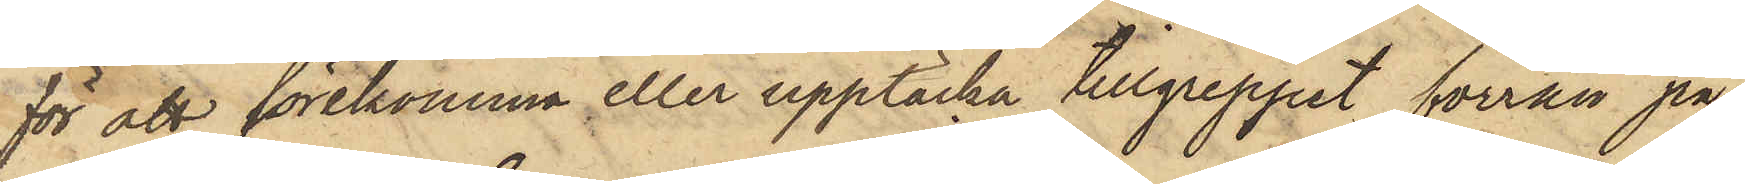för att förekomma eller upptäcka tillgreppet förrän på
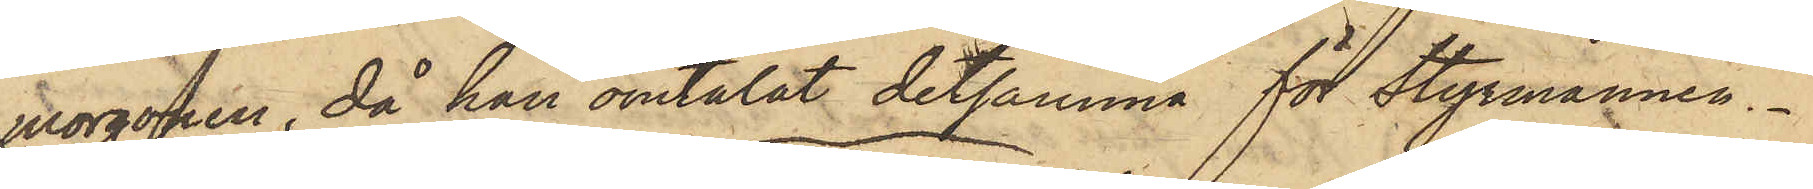morgonen, då han omtalat detsamma för Styrmannen.
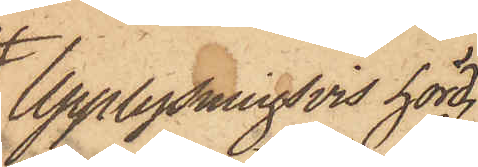Upplysningsvis hörd,
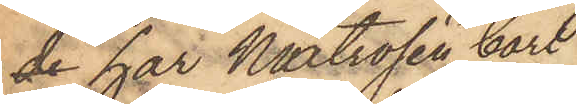de har Matrosen Carl
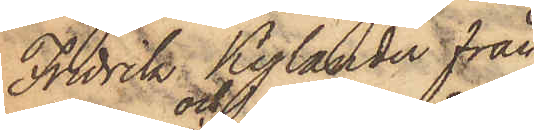Fredrik Kylander från
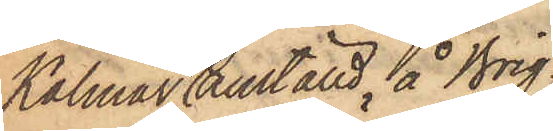Kalmar, och anställd å Brig¬
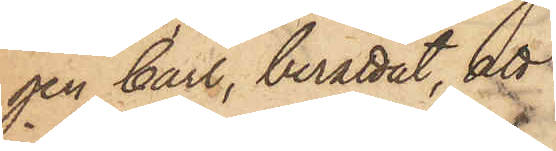gen Carl, berättat, att
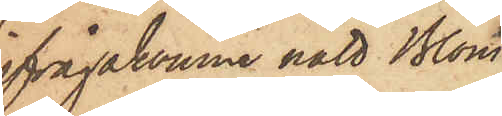ifrågakomne natt Blom
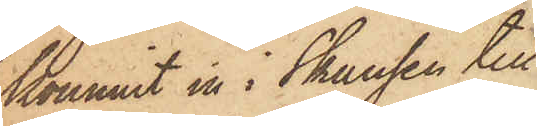kommit in i Skansen till
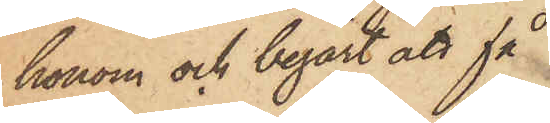honom och begärt att få
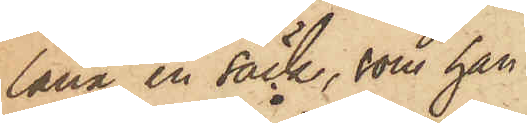låna en säck, som han
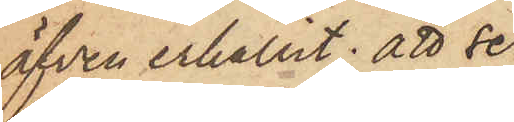äfven erhållit; att se¬
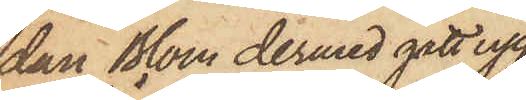dan Blom dermed gått upp
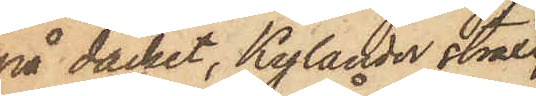på däcket, Kylander straxt
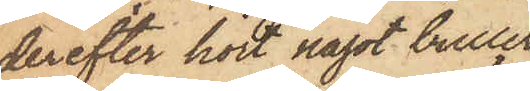derefter hört något buller
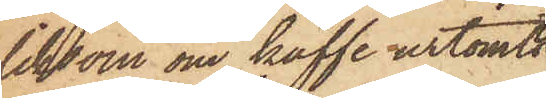liksom om kaffe urtömts
